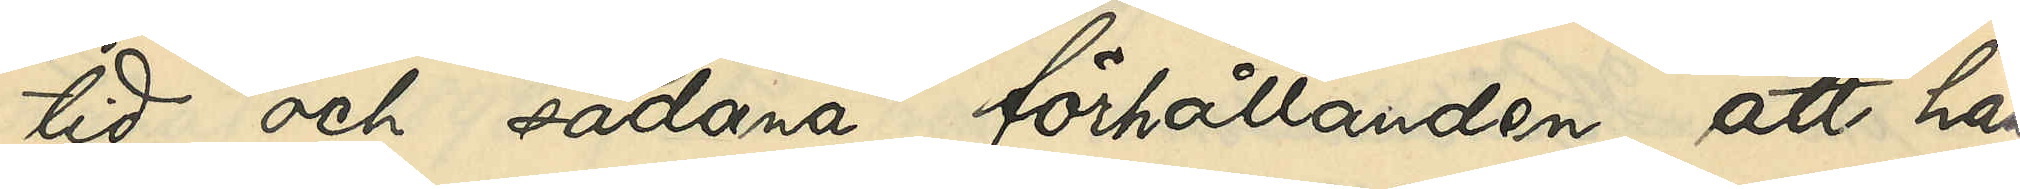tid och sådana förhållanden, att han
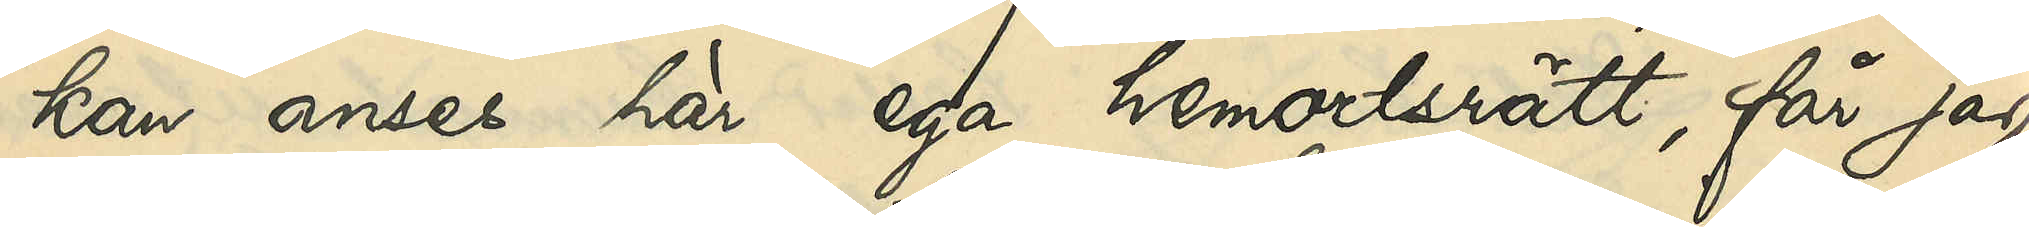kan anses här ega hemortsrätt, får jag,
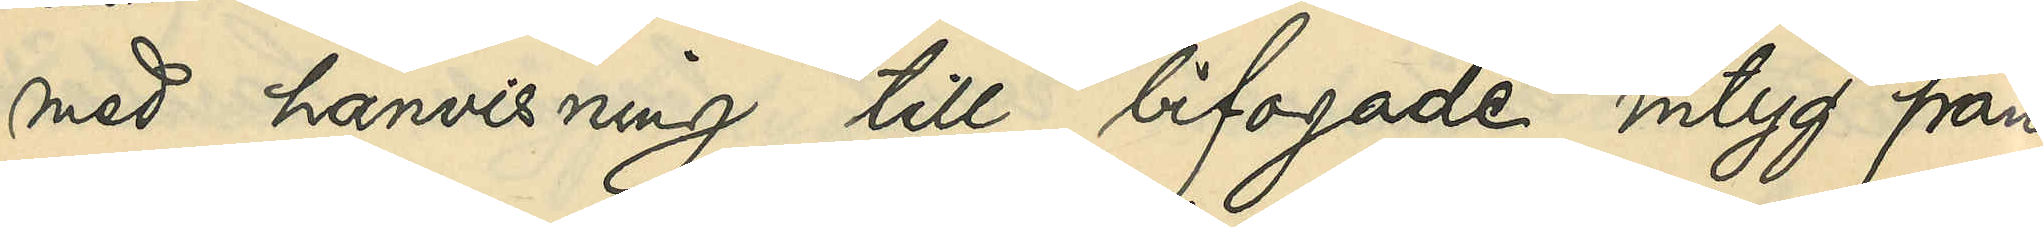med hänvisning till bifogade intyg från
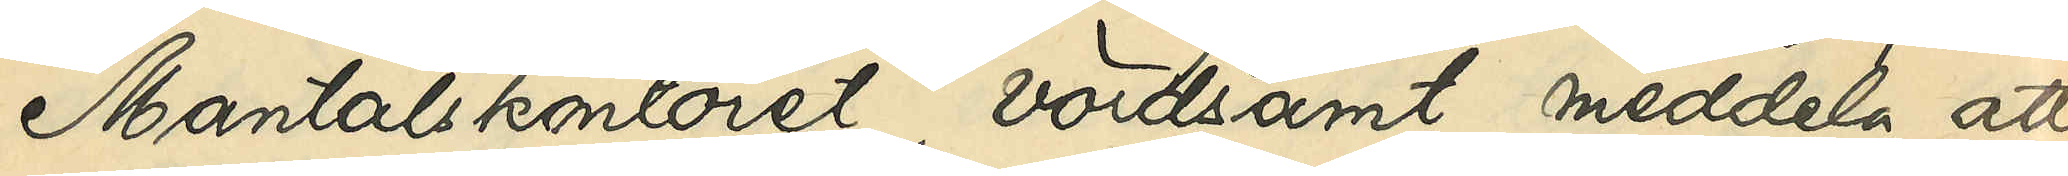Mantalskontoret, vördsamt meddela, att
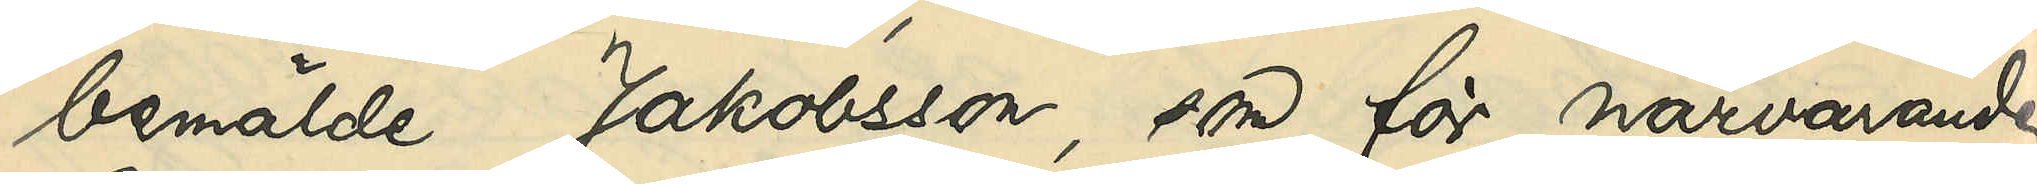bemälde Jakobsson, som för närvarande 
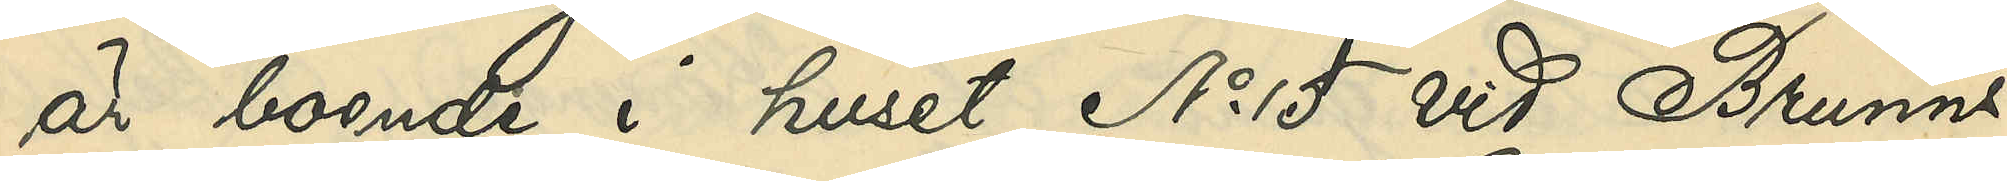är boende i huset No 15 vid Brunns¬
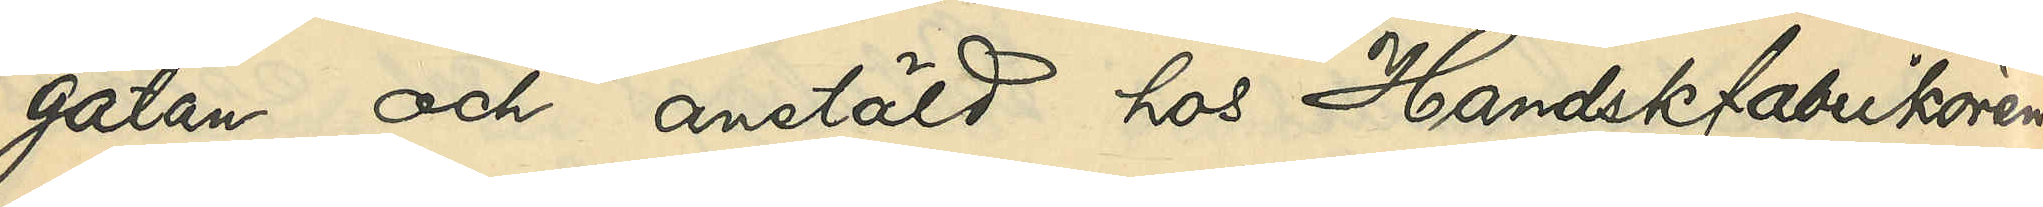gatan och anstäld hos Handskfabrikören
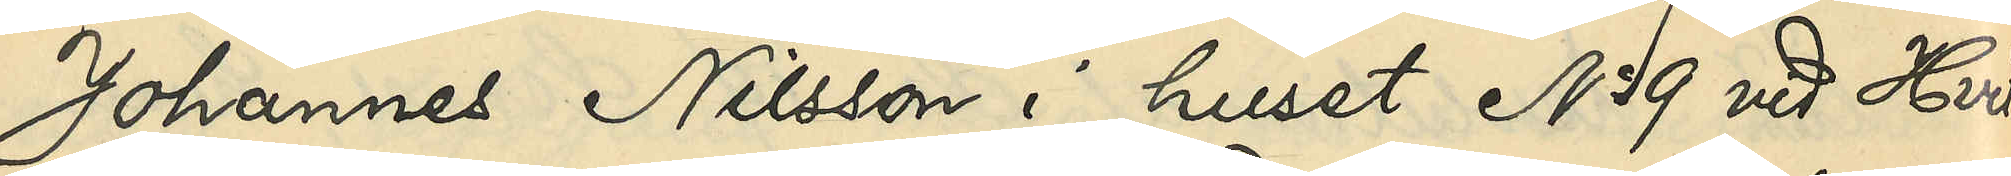Johannes Nilsson i huset No 39 vid Hvit¬
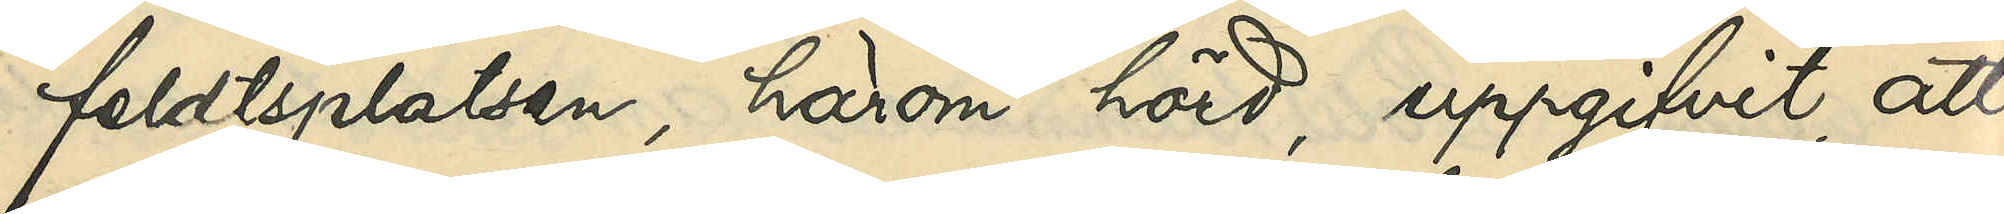feldtsplatsen, härom hörd, uppgifvit, att
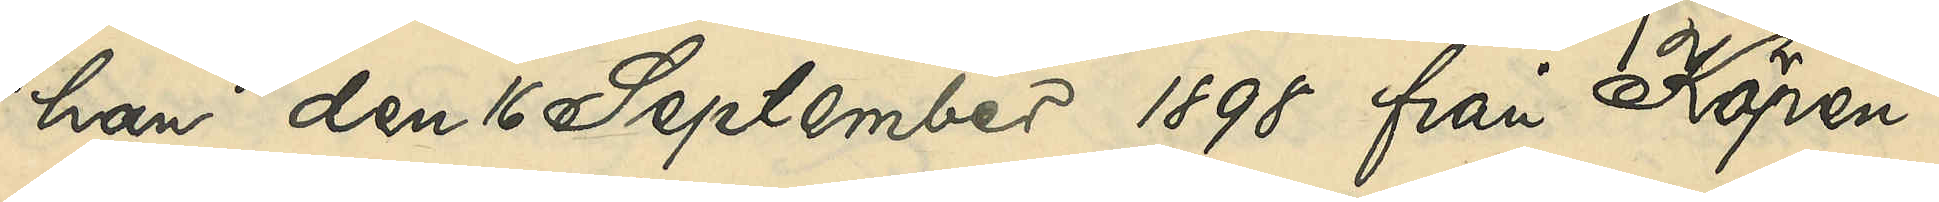han den 16 September 1898 från Köpen¬
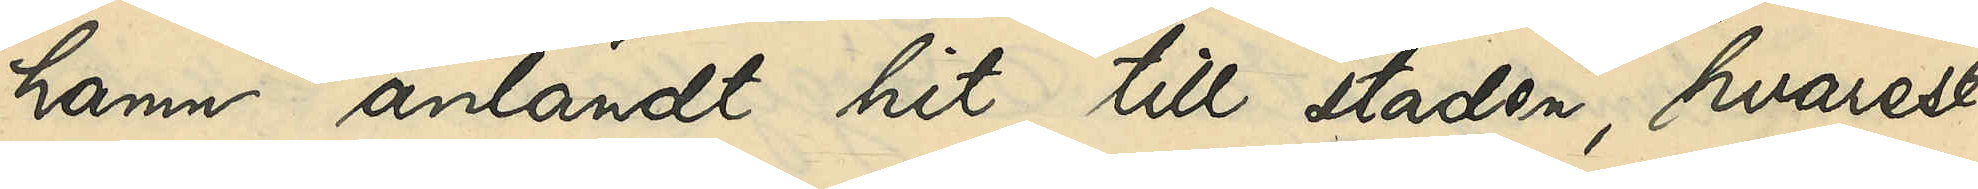hamn anländt hit till staden, hvarest
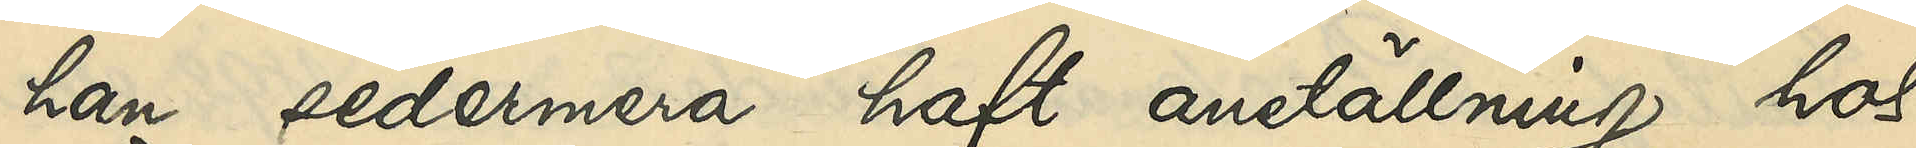han sedermera haft anställning hos
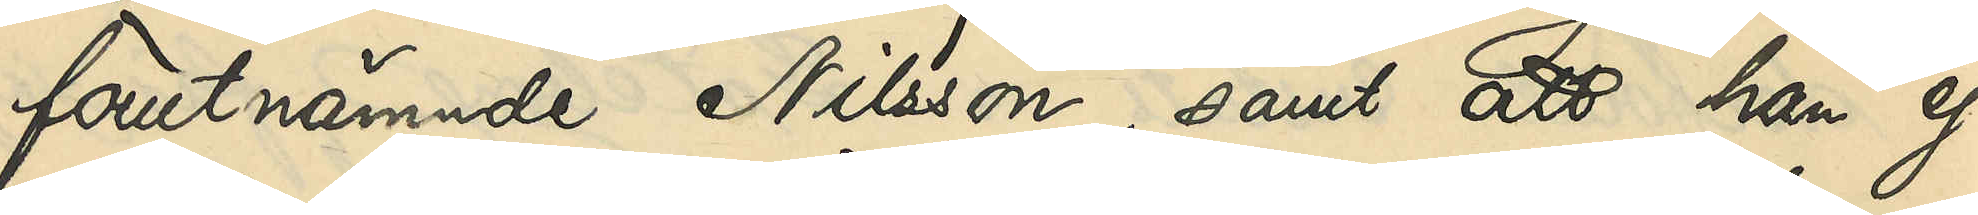förutnämnde Nilsson; samt att han ej
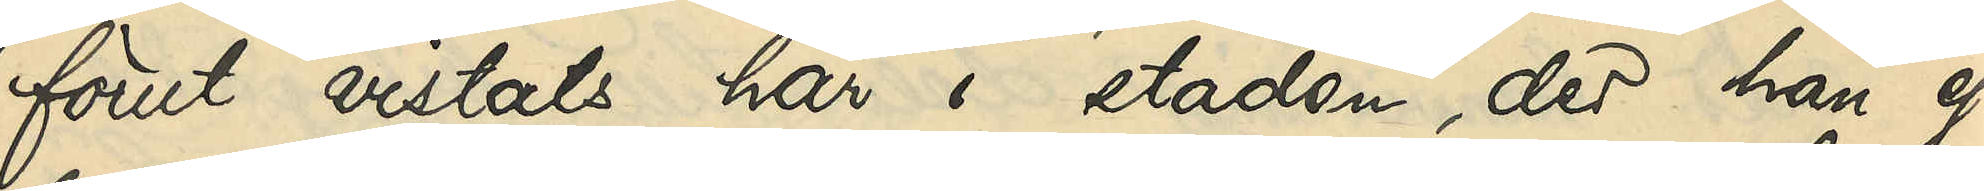förut vistats här i staden, der han ej
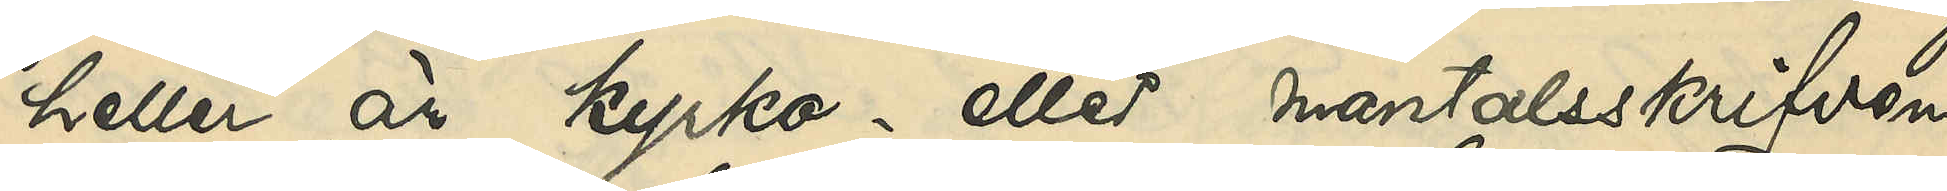heller är kyrko- eller mantalsskrifven.
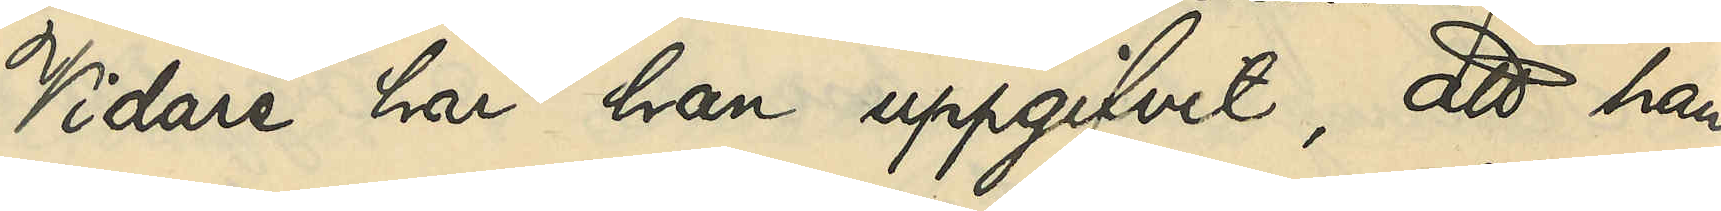Vidare har han uppgifvit, att han
